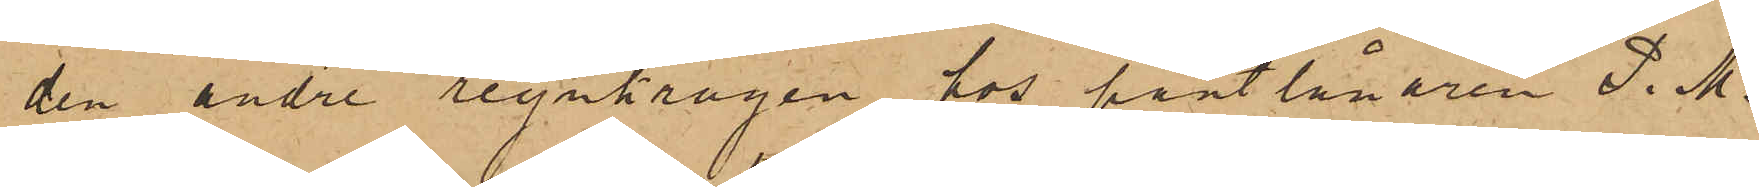den andre regnkragen hos pantlånaren P. M.
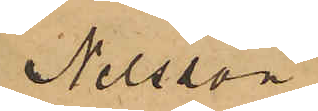Nilsson
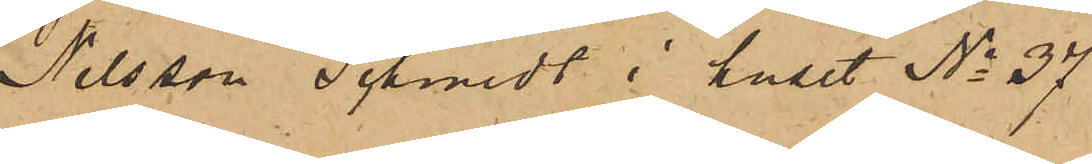Nilsson Schmidt i huset No 37
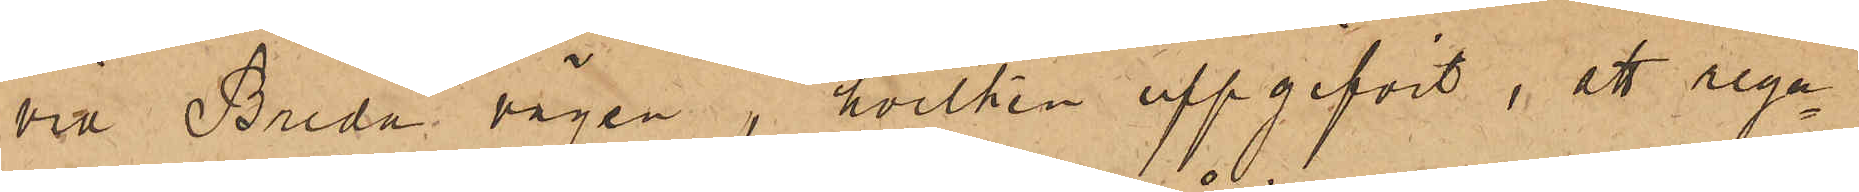vid Breda vägen, hvilken uppgifvit, att regn¬
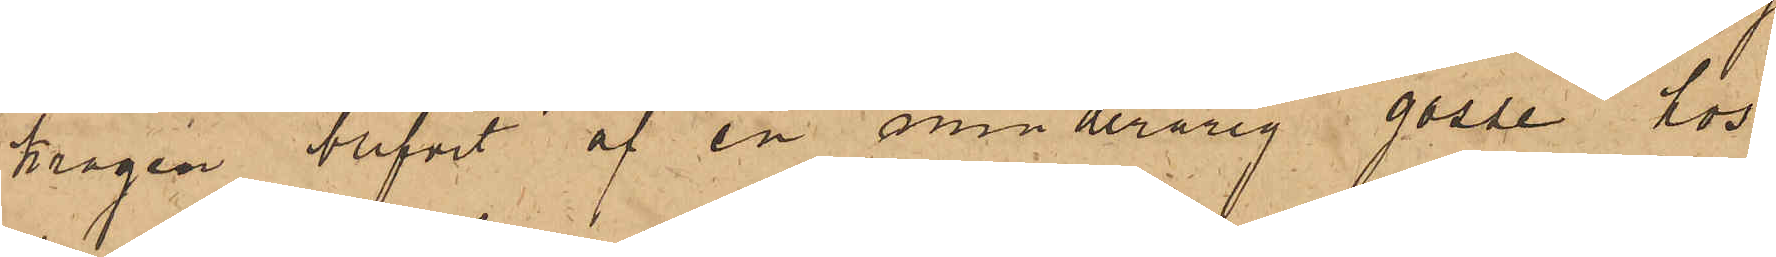kragen blifvit af en minderårig gosse hos
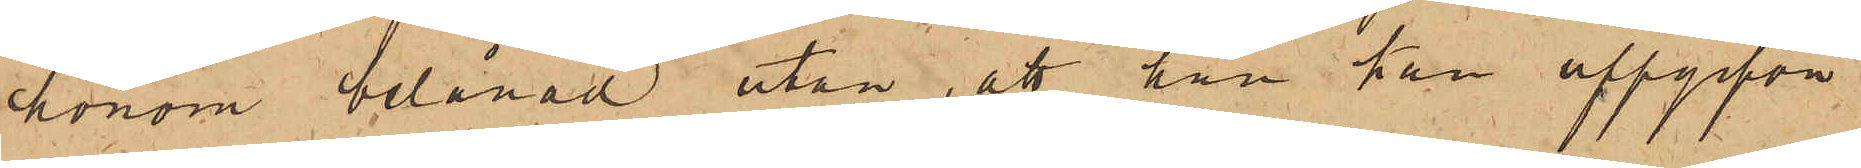honom belånad utan, att han han uppgifva
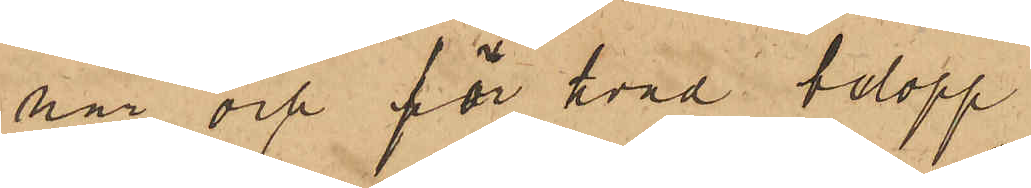när och för hvad belopp.
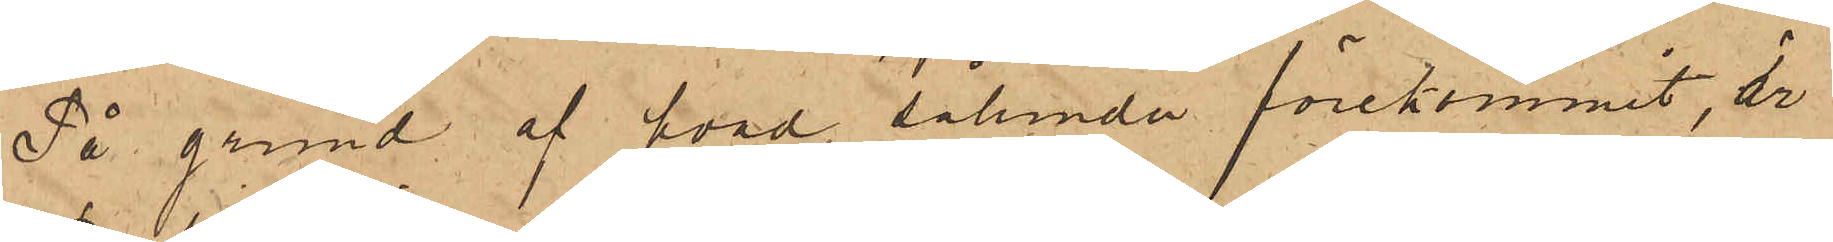På grund af hvad sålunda förekommit, är
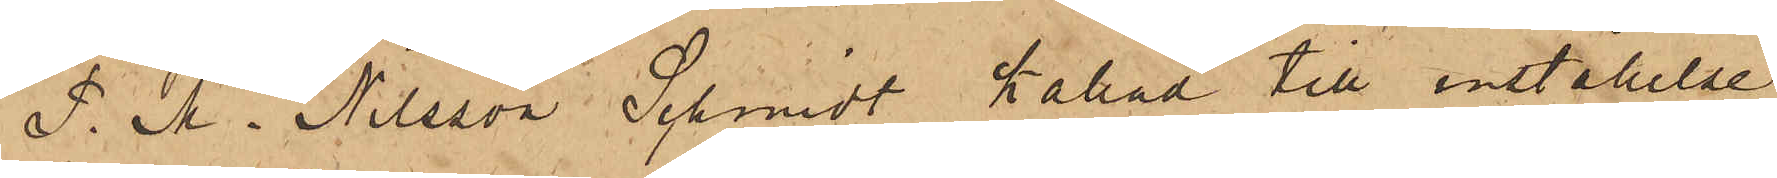P. M. Nilsson Schmidt kallad till inställelse
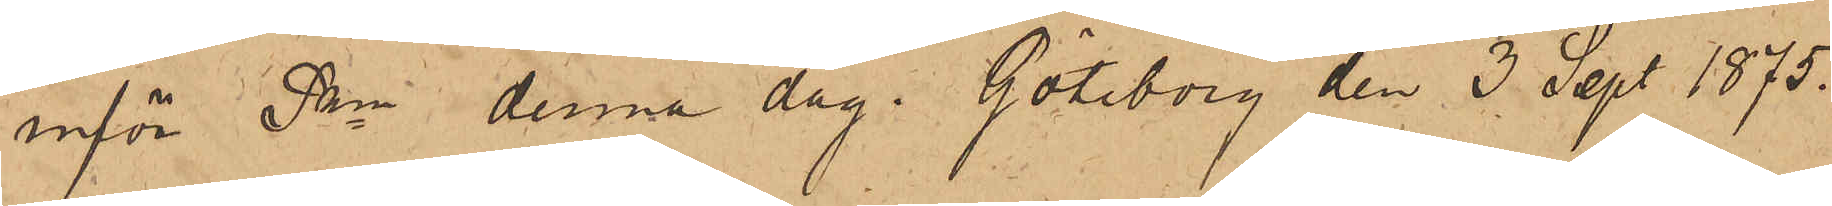inför Pkn denna dag. Göteborg den 3 Sept. 1875.
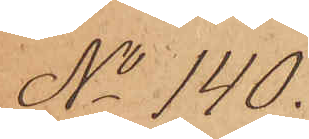No 140.
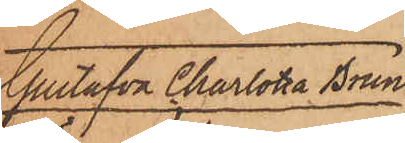Gustafva Charlotta Brun¬
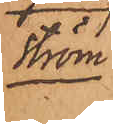ström
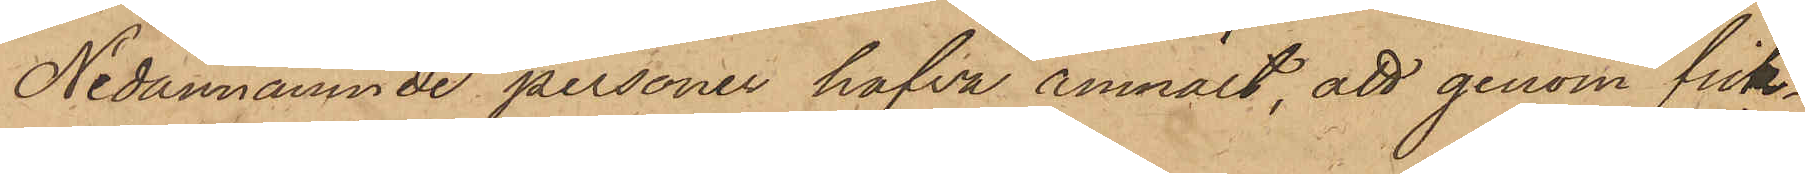Nedannämnde personer hafva anmält, att genom fick¬
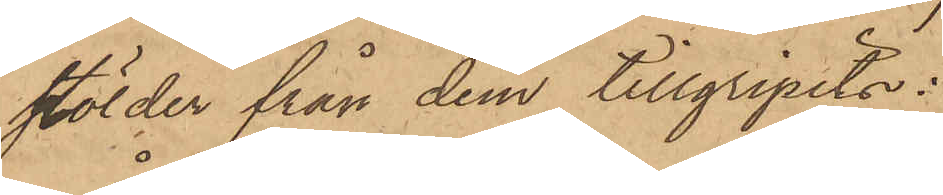stölder från dem tillgripits:
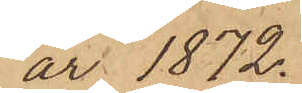år 1872.
